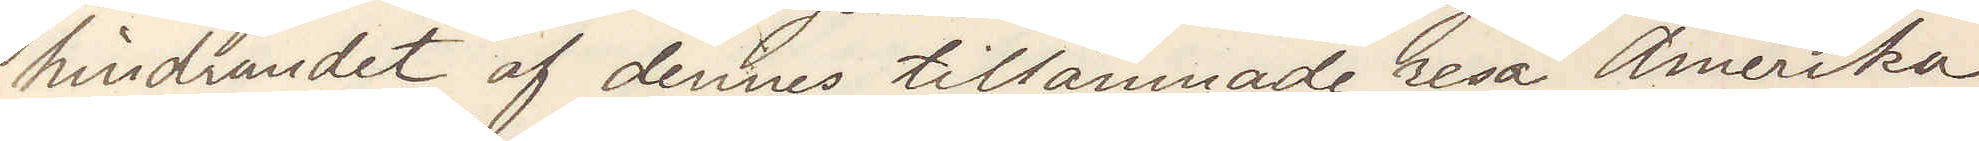hindrandet af dennes tillämnade resa Amerika,
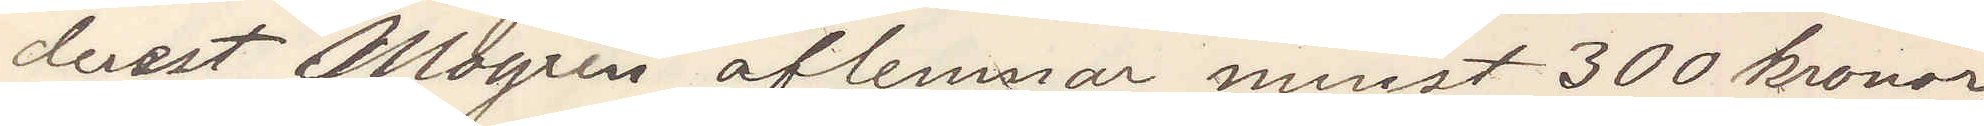derest Mogren aflemnar minst 300 kronor,
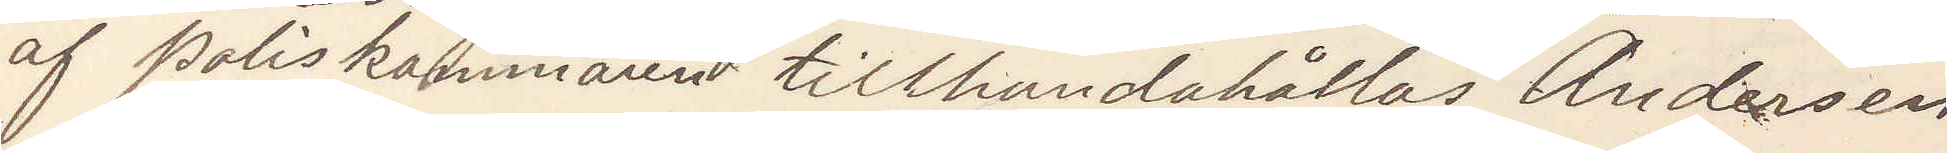af poliskammaren tillhandahållas Andersen
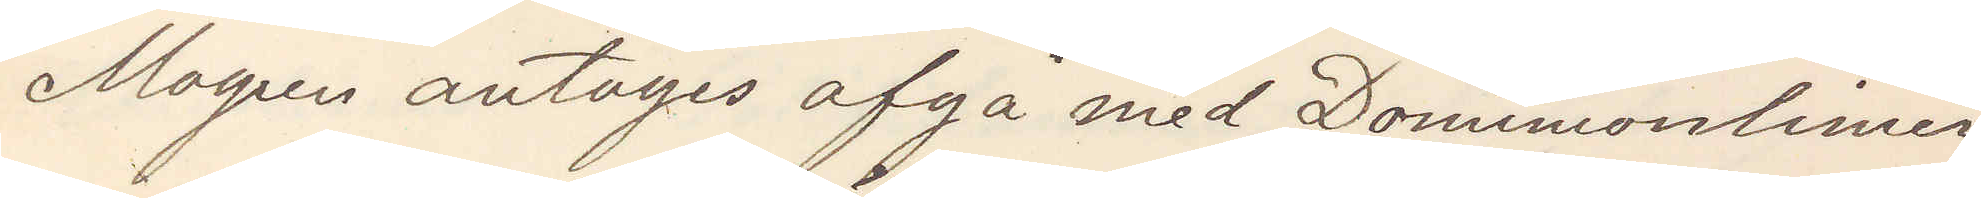Mogren antages afgå med Dominionlinien
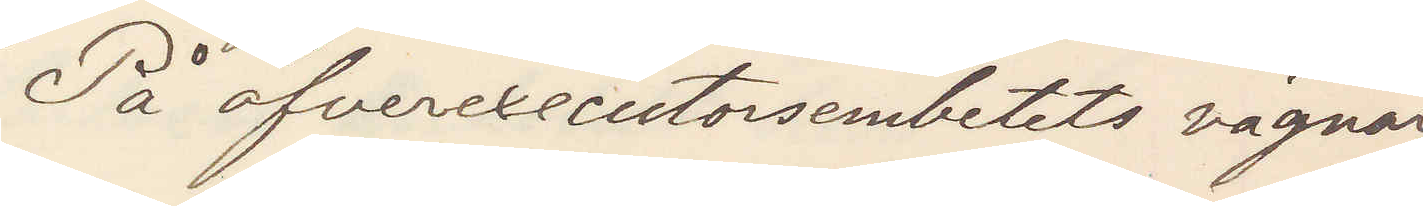På öfverexecutorsembetets vägnar
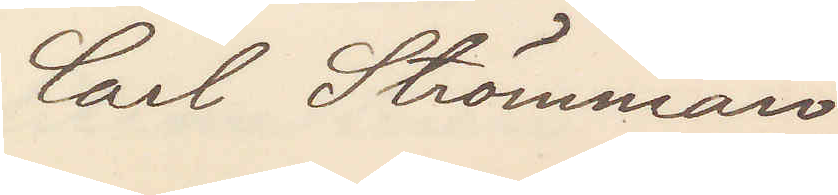Carl Strömman
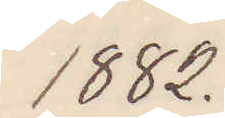1882.
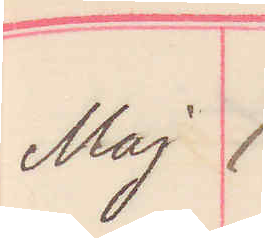Maj 1.
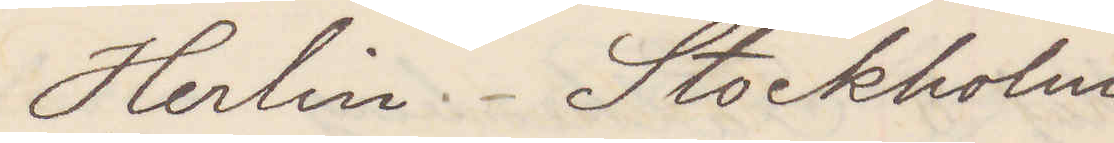Herlin Stockholm
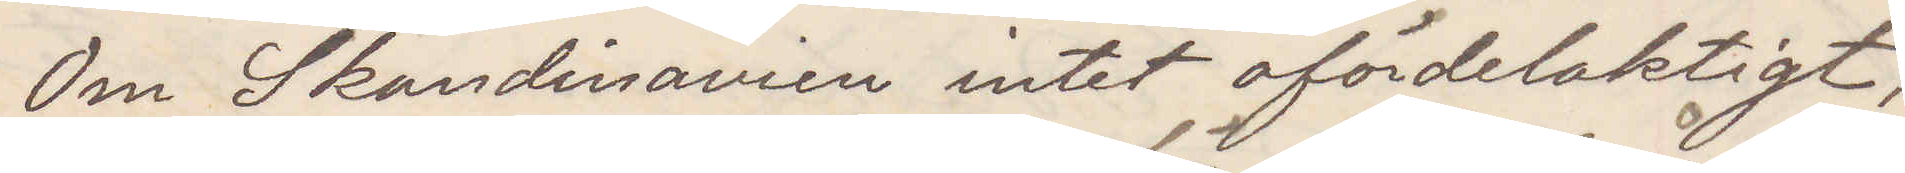Om Skandinavien inte ofördelaktigt;
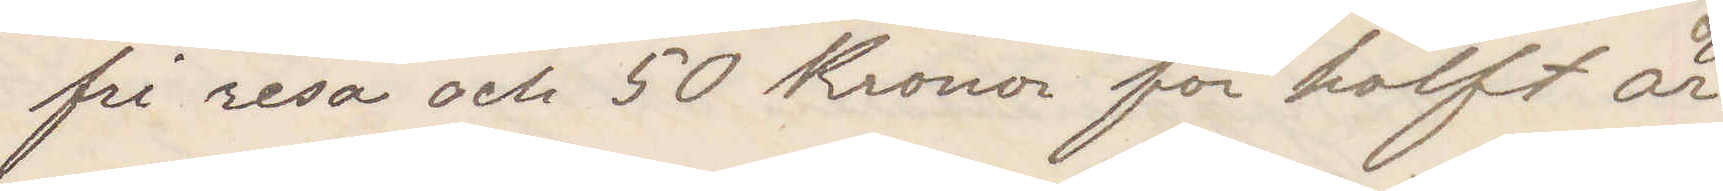fri resa och 50 Kronor för halft år
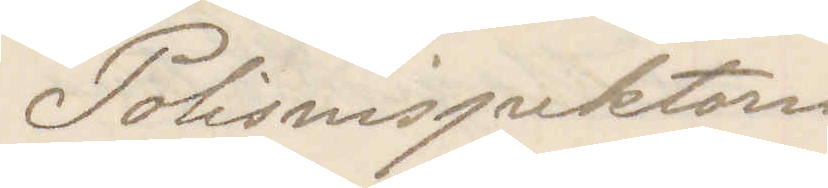Polisinspektorn
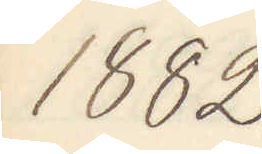1882
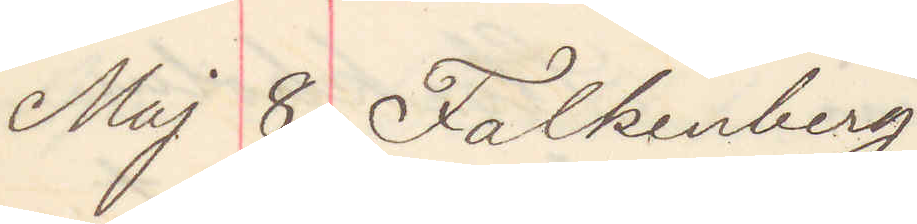Maj 8 Falkenberg
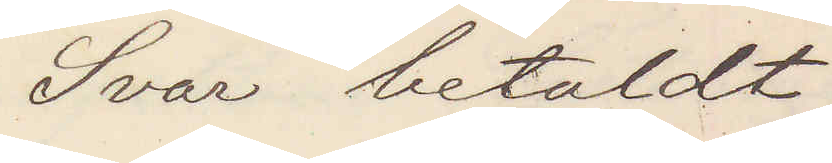Svar betaldt
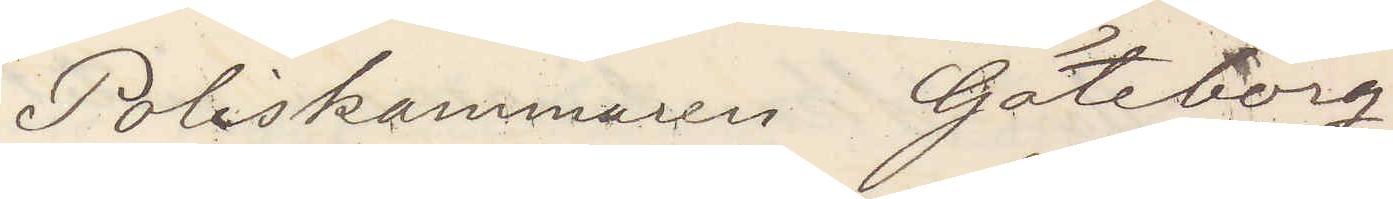Poliskammaren Göteborg
